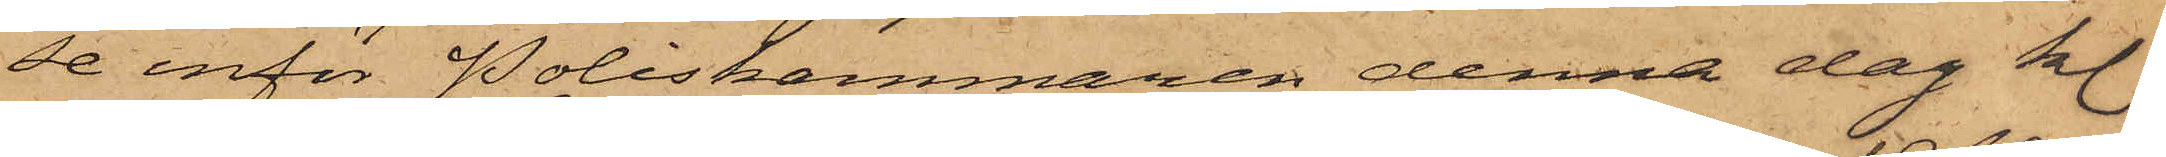se inför Poliskammaren denna dag kl.
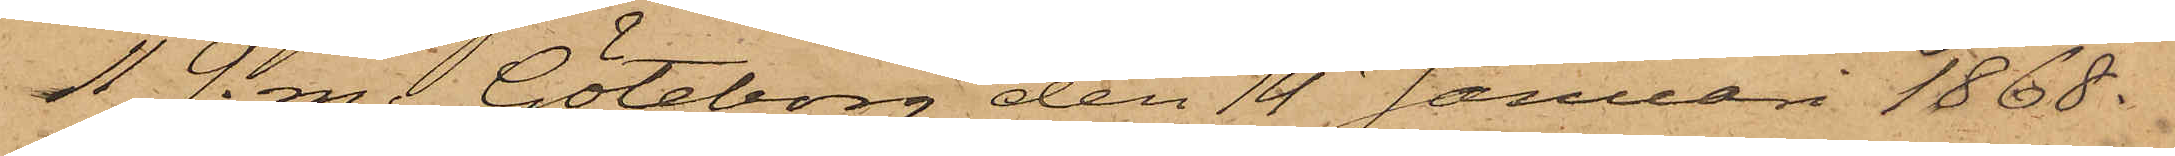11 f. m. Göteborg den 14 Januari 1868.
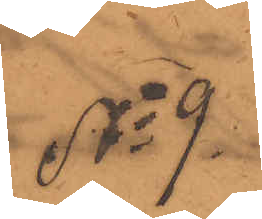No 9
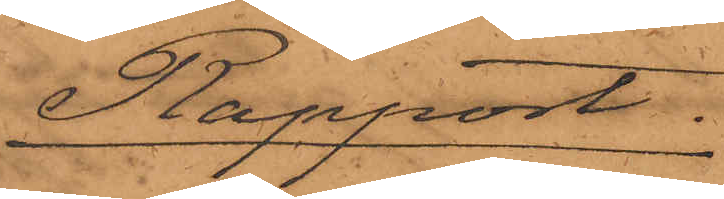Rapport.
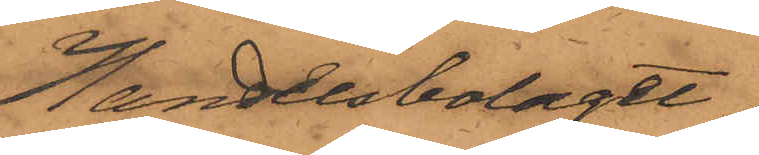Handelsbolaget
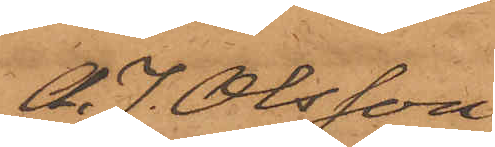A. J. Olsson
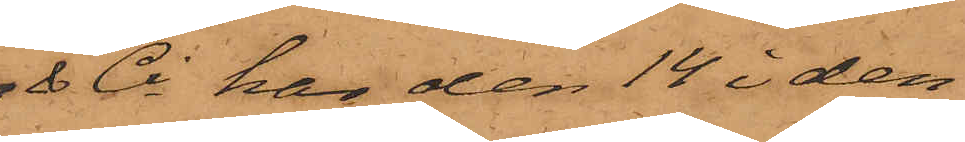& Ci har den 14 i den¬
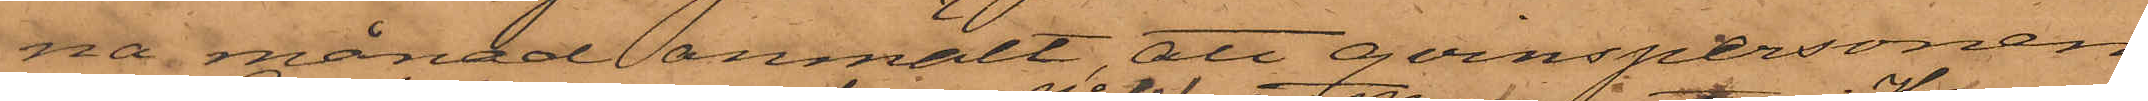na månad anmält, att qvinspersonen
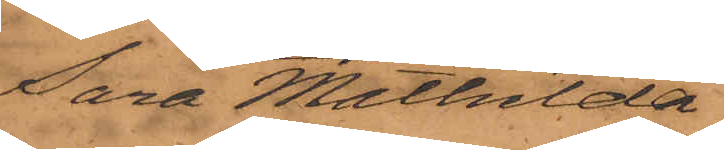Sara Mathilda
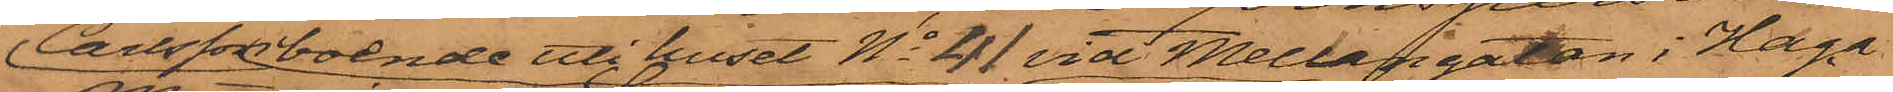Carlsson boende uti huset No 41 vid Mellangatan i Haga
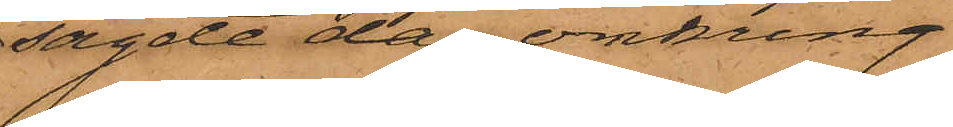sagde dag omkring
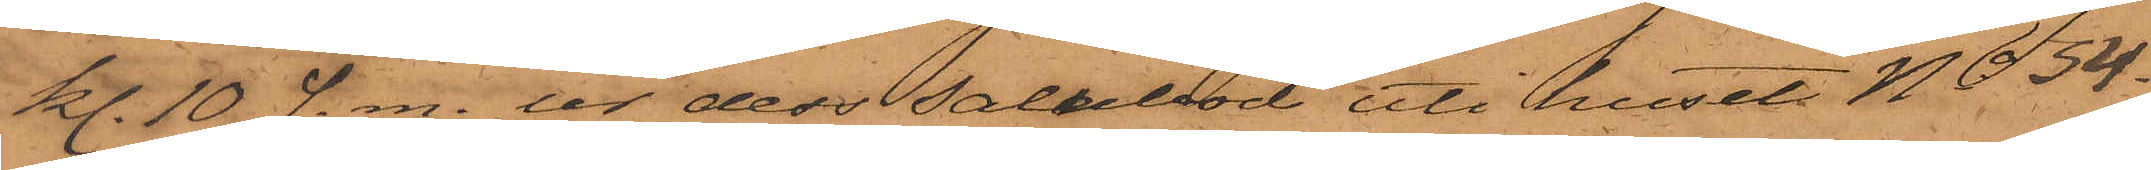kl. 10 f. m. ur dess salubod uti huset No 54
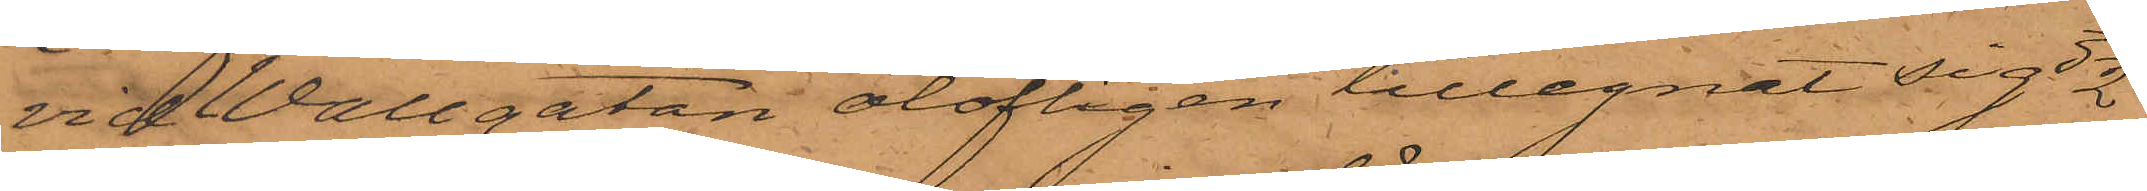vid Wallgatan olofligen tillegnat sig 3 1/2
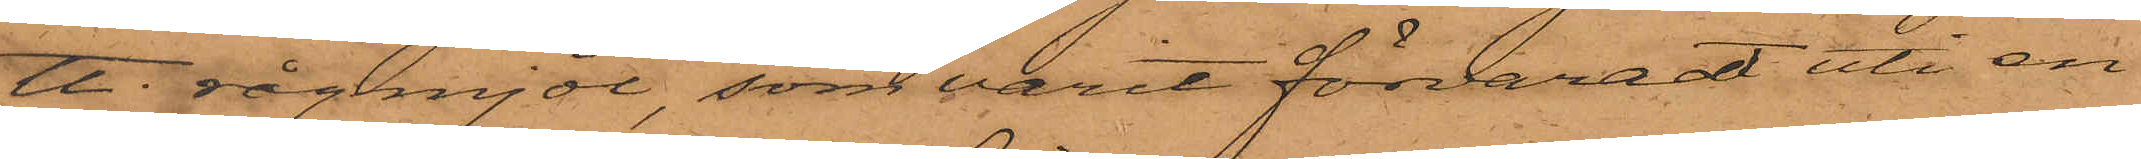℔ rågmjöl, som varit förvaradt uti en
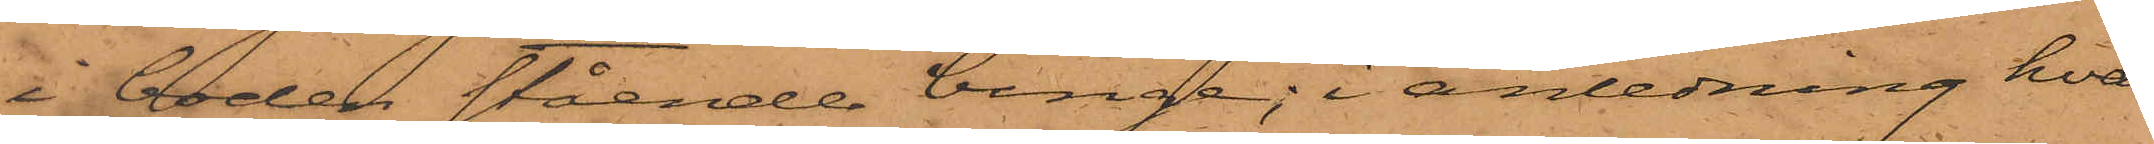i boden stående binge; i anledning hvar¬
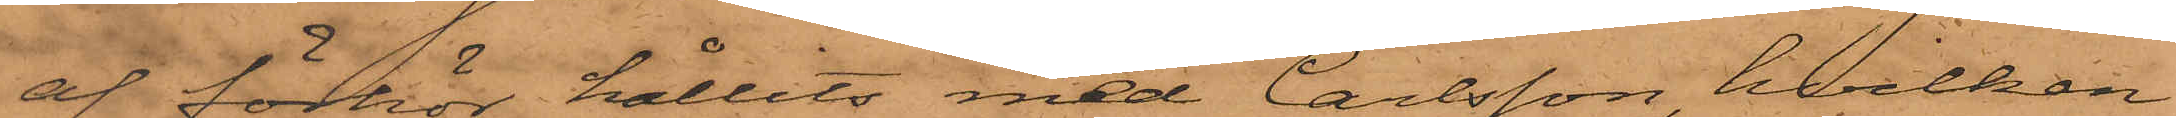af förhör hållits med Carlsson, hvilken
